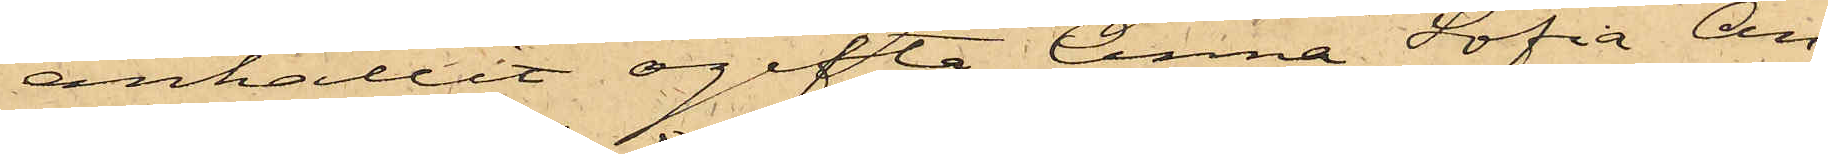anhållit ogifta Anna Sofia An¬
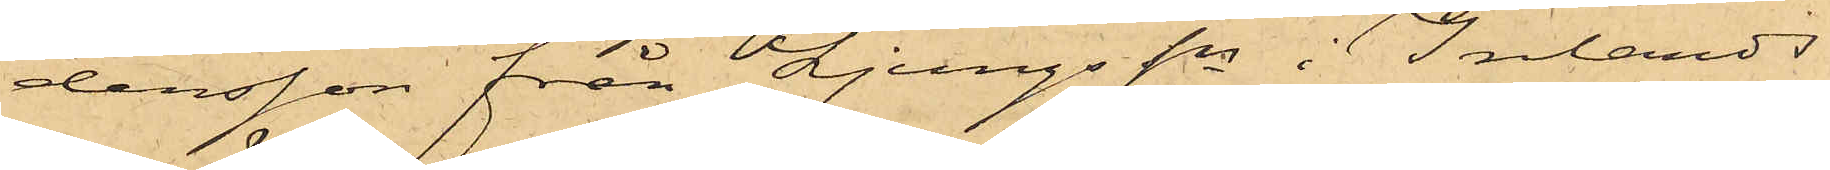dersson från Ljungs Sn i Inlands
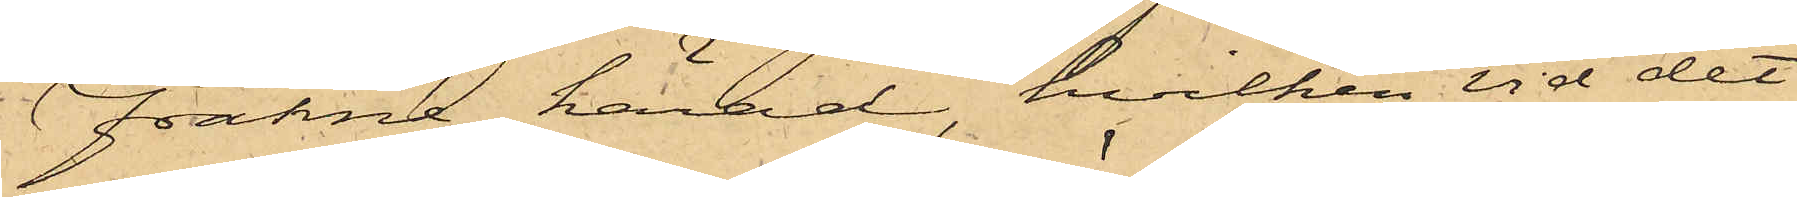Fräkne härad, hvilken vid det
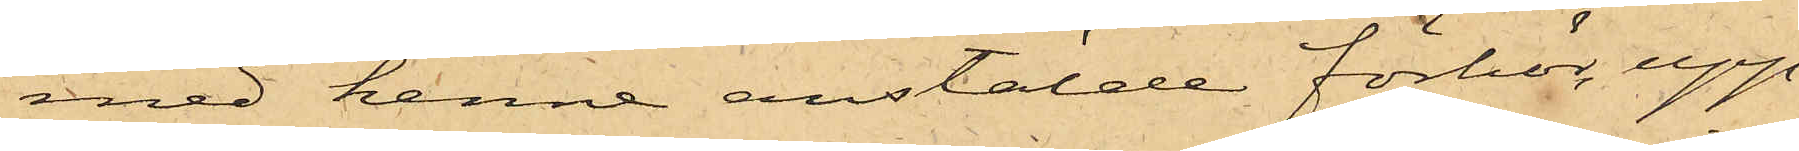med henne anstälde förhör upp¬
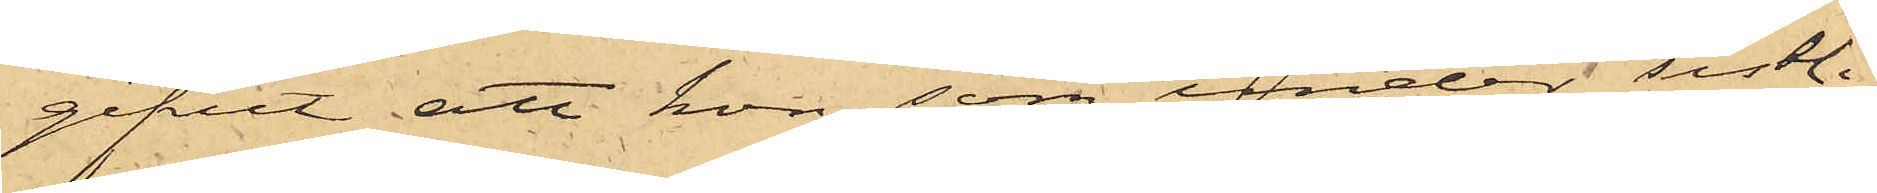gifvit att hon, som under sistli¬
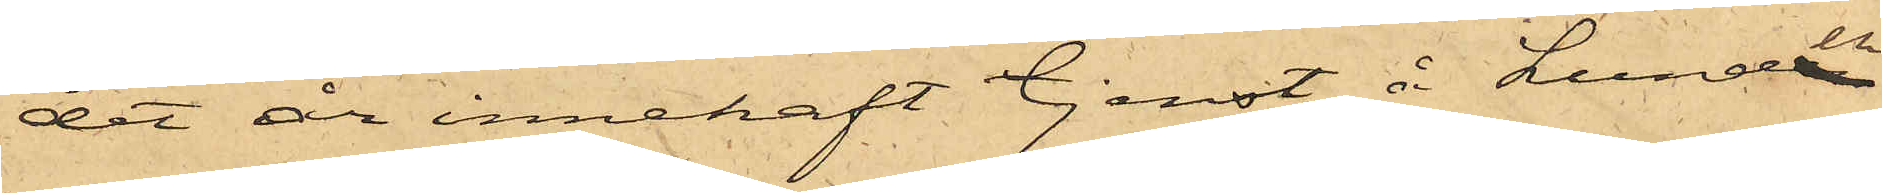det år innehaft tjenst å Lunden
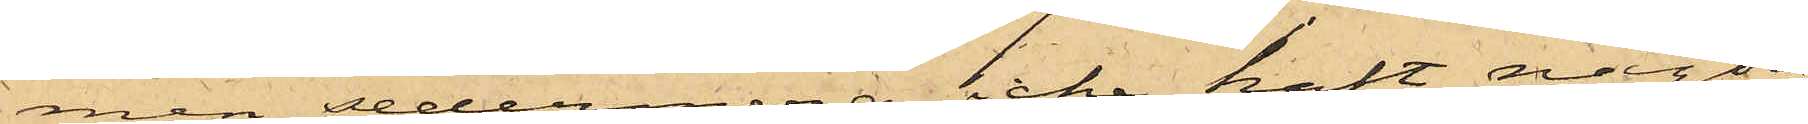men sedermera icke haft någon
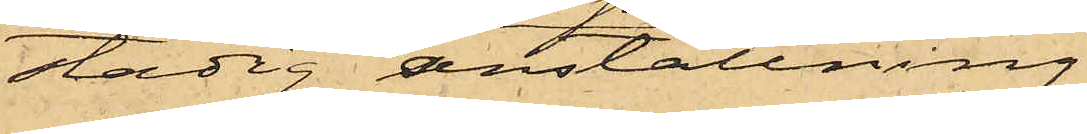stadig anställning,
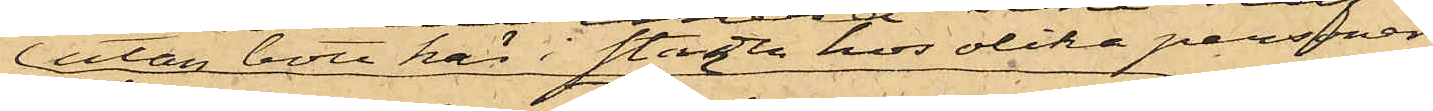utan bott här i staden hos olika personer
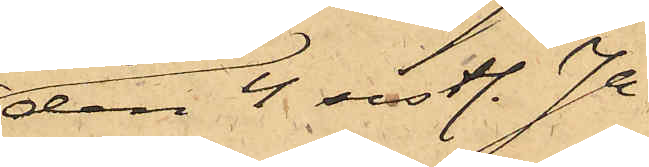den 4 sistl. Ja¬
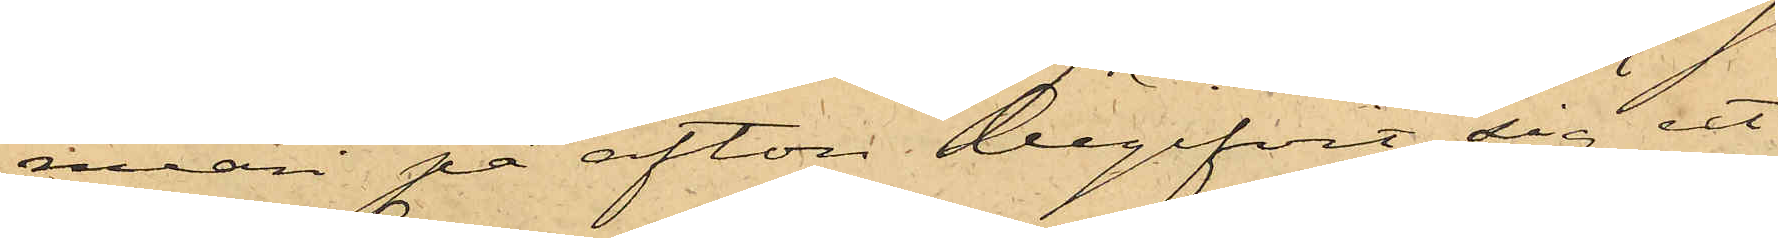nuari på afton begifvit sig ut
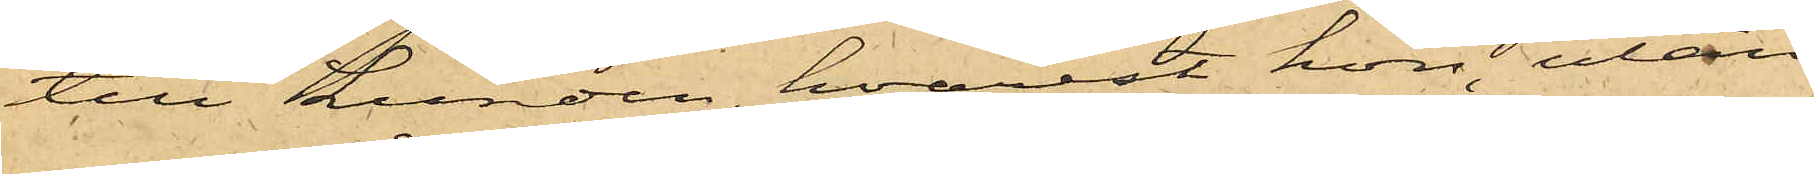till Lunden, hvarest hon, utan
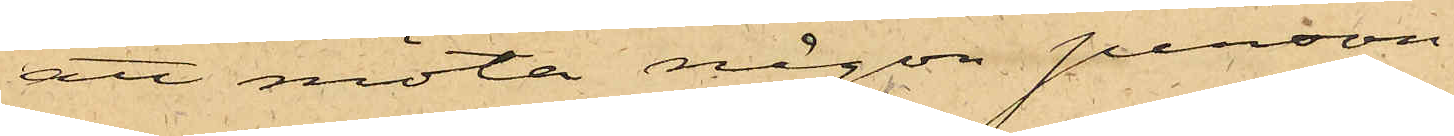att möta någon person,
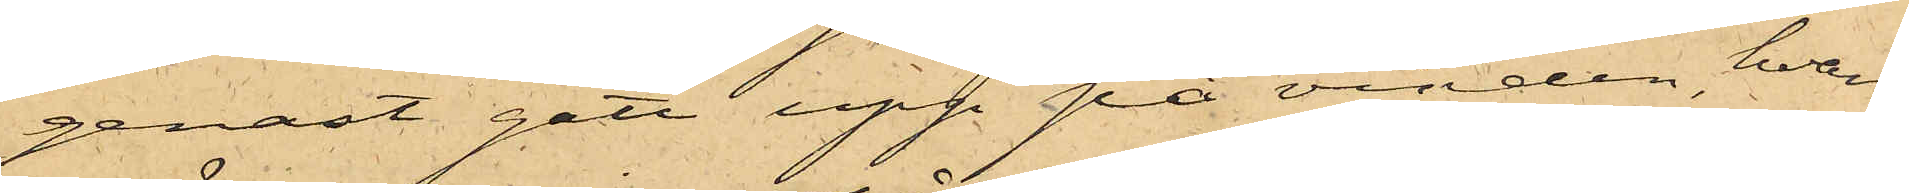genast gått upp på vinden, hvars
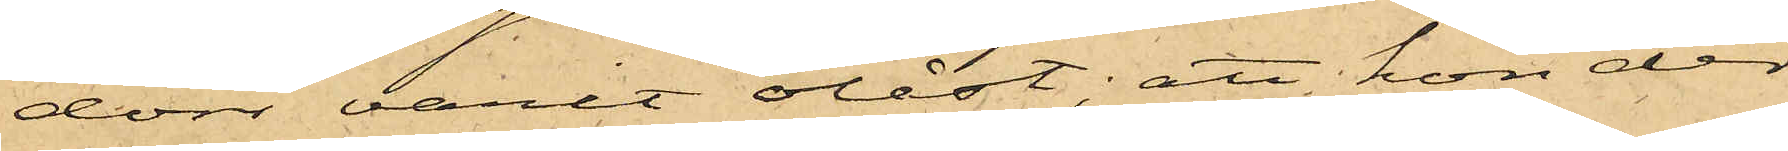dörr varit olåst; att hon der
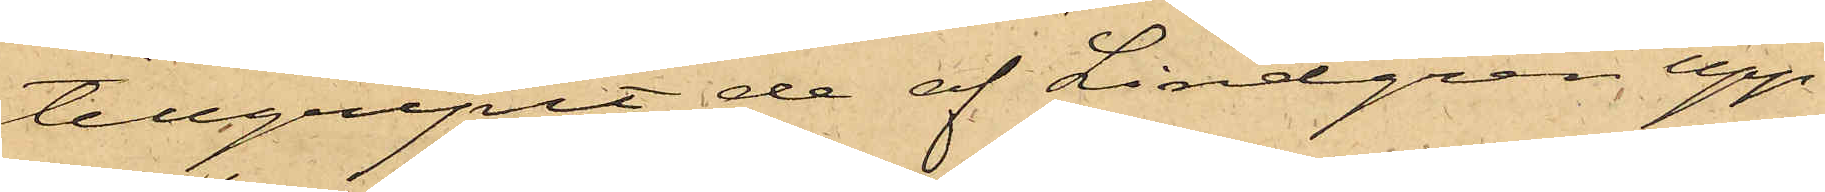tillgripit de af Lindgren upp¬
